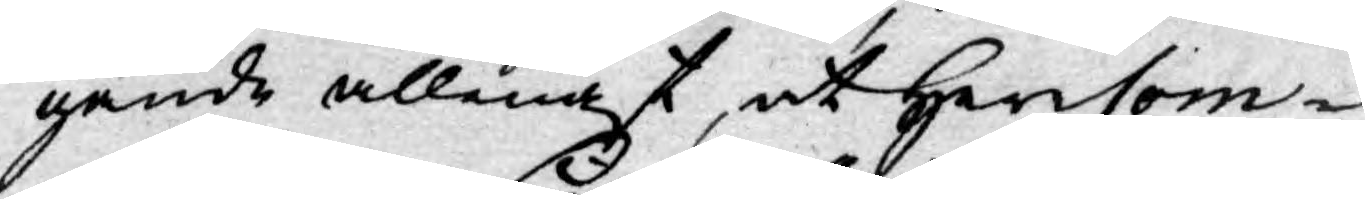gande allenast, at Her Com¬
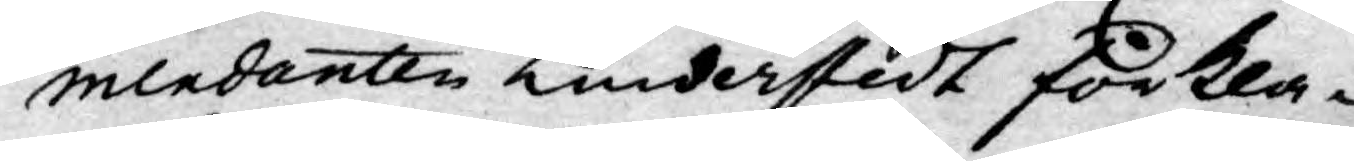mendanten Lindersteft förkla¬
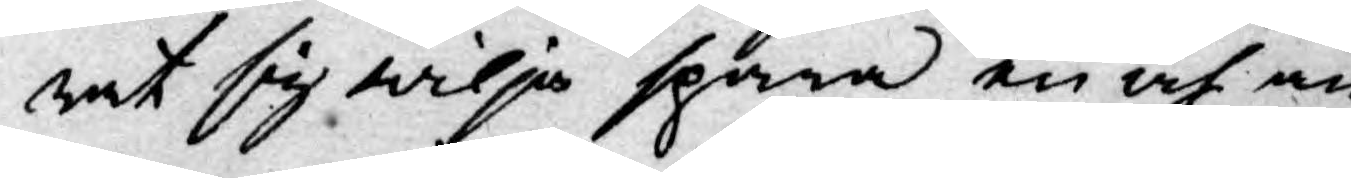rat sig wilja spara en af an¬
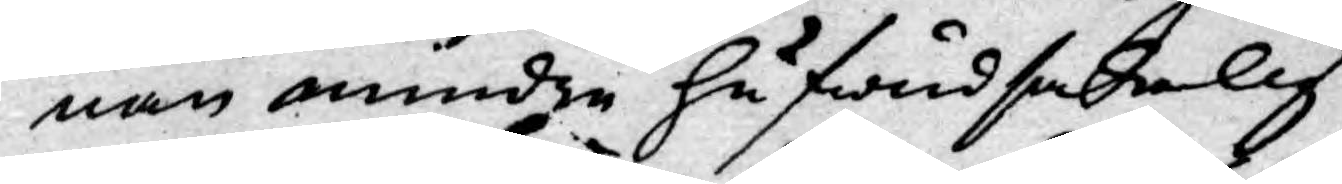nan mindre hufwudsakelig
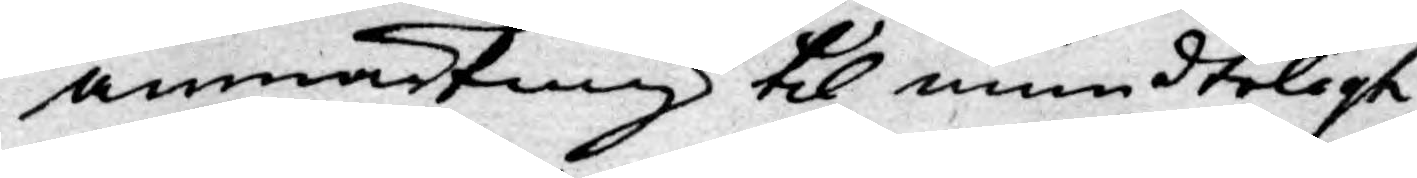anmärkning til mundteligt
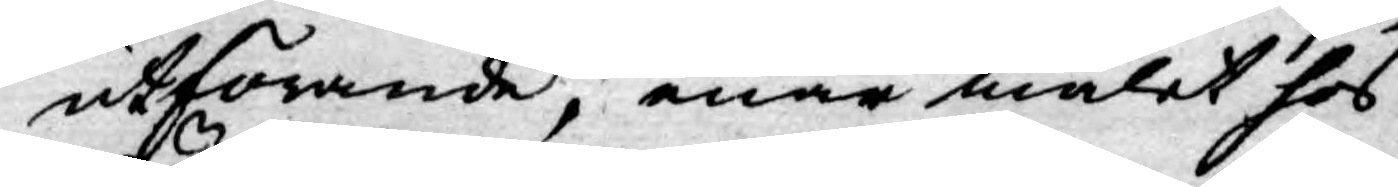utförande, enär målet hos
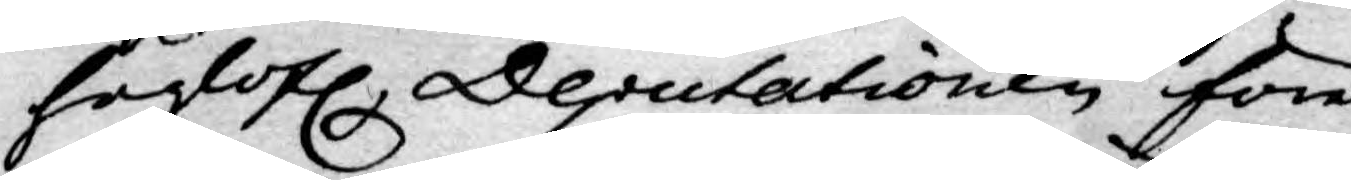höglofl. Deputationen före¬
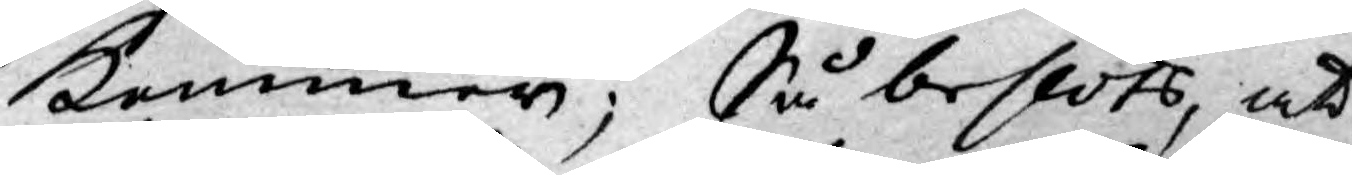kommer; Så beslöts, att
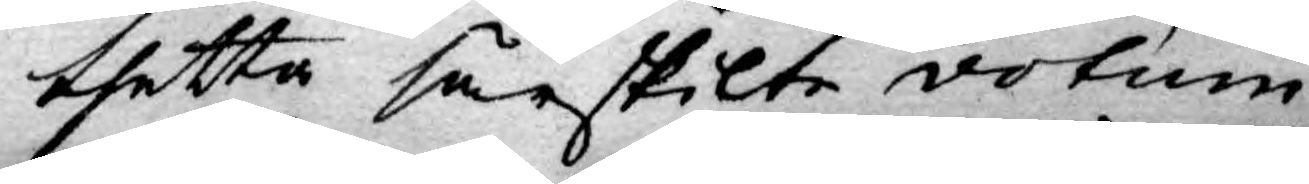thetta särskilte votum,
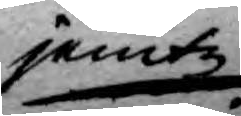jemte
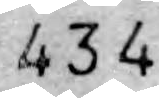434.
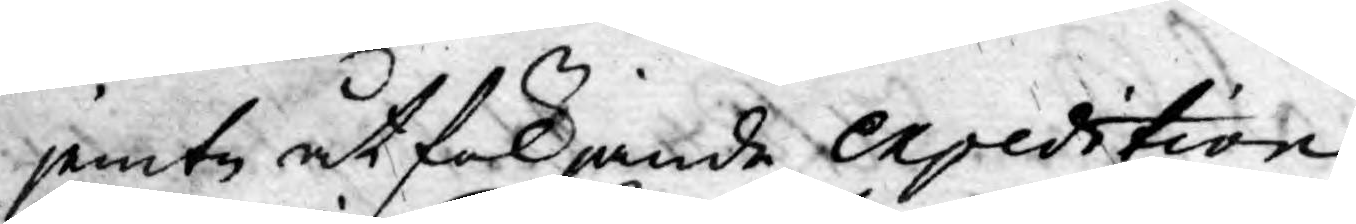jemte åtföljande expedition
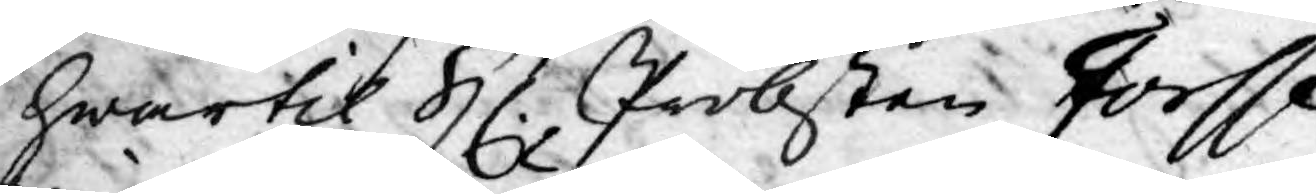hwartil Hr. Probsten Forsse¬
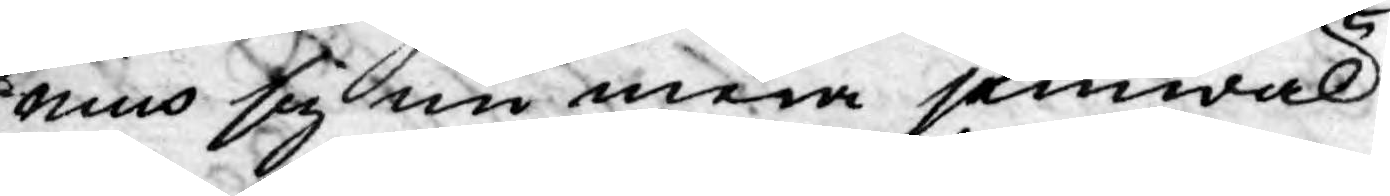nius sig nu mera jämwäl
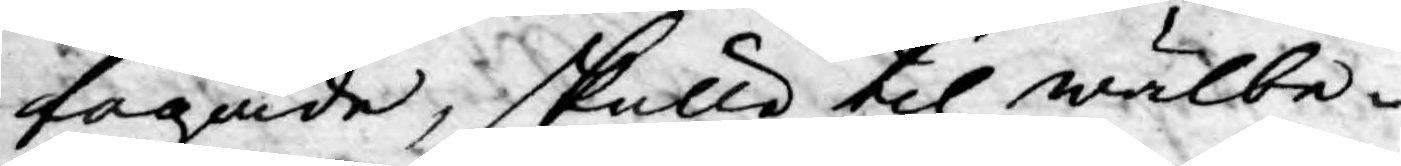tagade, skulle til wälbe¬
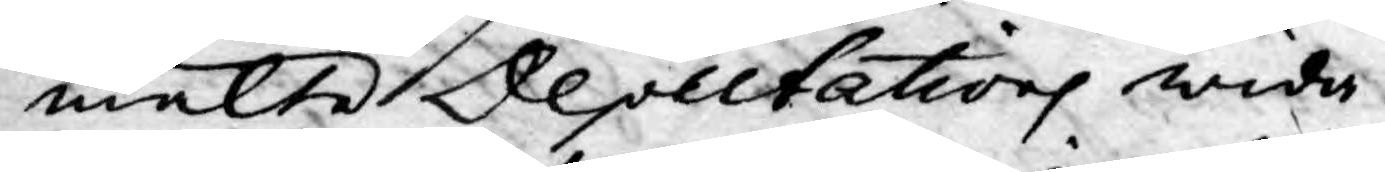mälte Deputations wida¬
